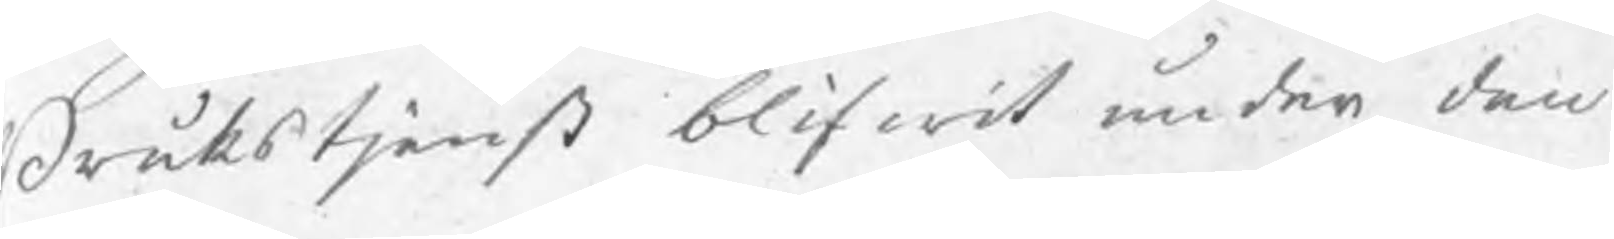Brukstjenst blifwit under den
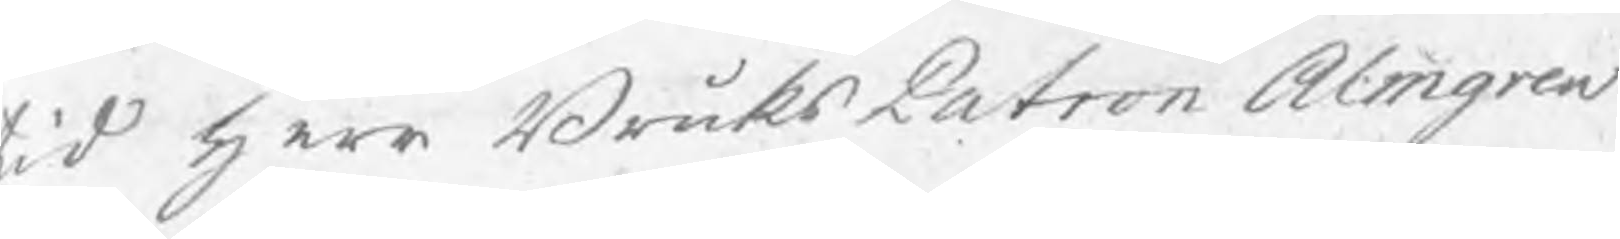tid herr BruksPatron Almgren
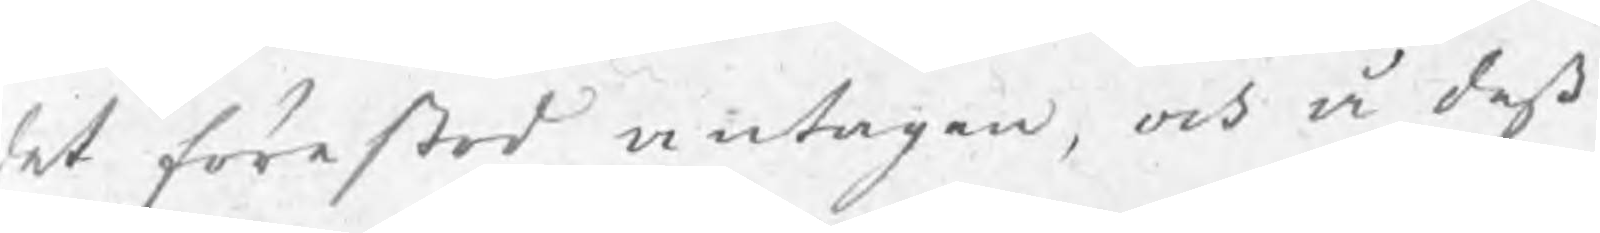det förestod antagen, och å deß
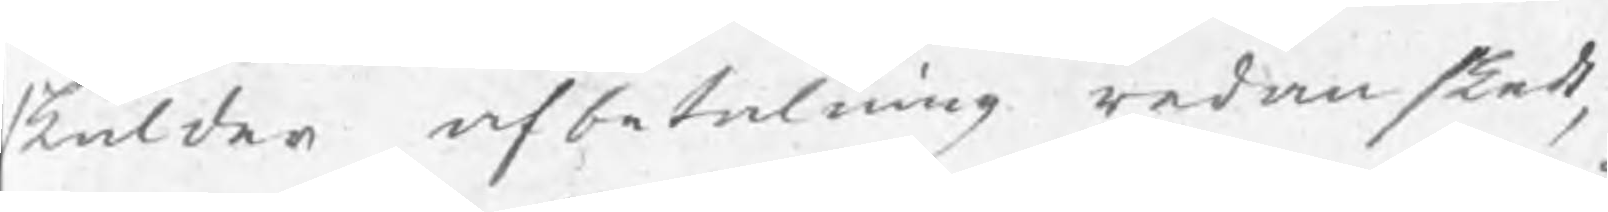skulder afbetalning redan skedt,
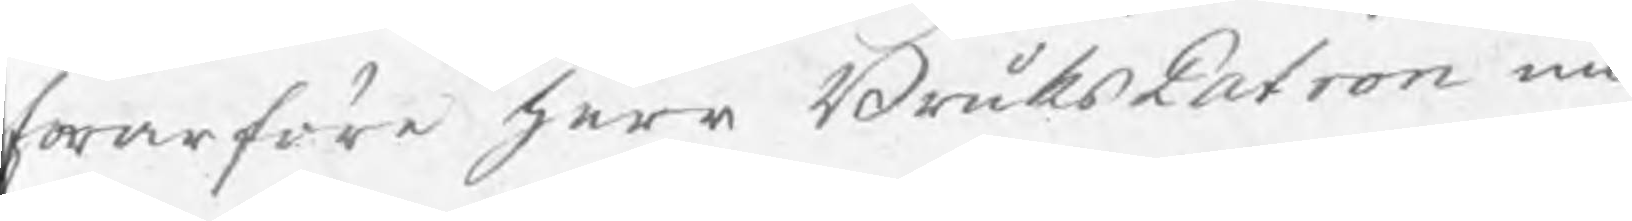hwarföre herr BruksPatron nu
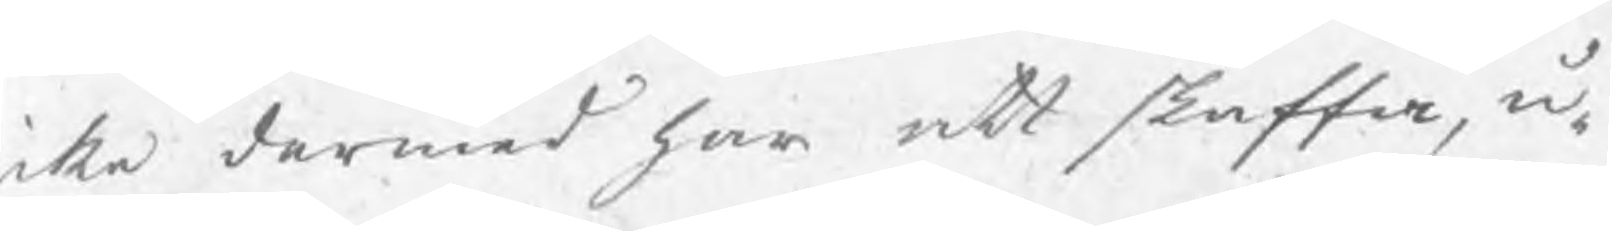icke dermed har att skaffa, u¬
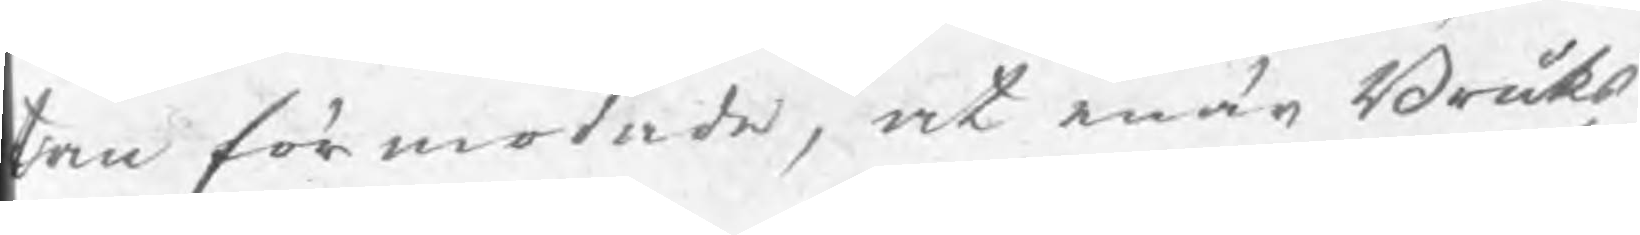tan förmodade, at när Bruks¬
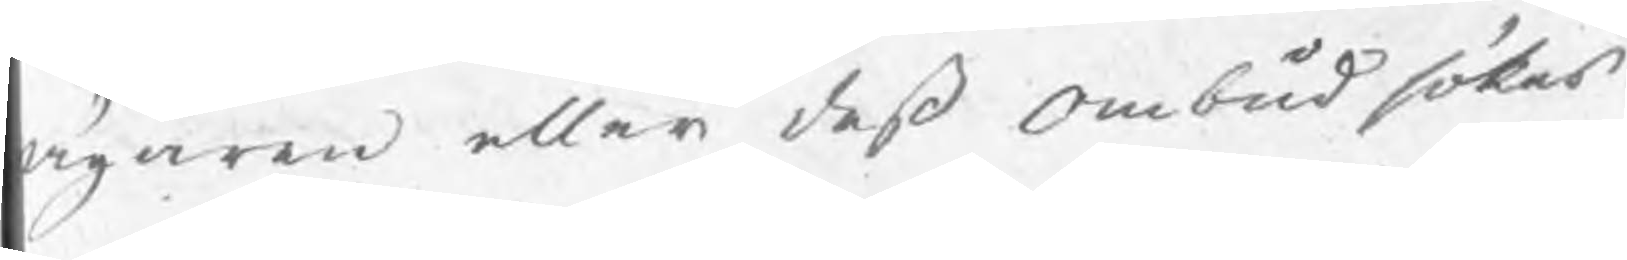ägaren eller deß Ombud sökes
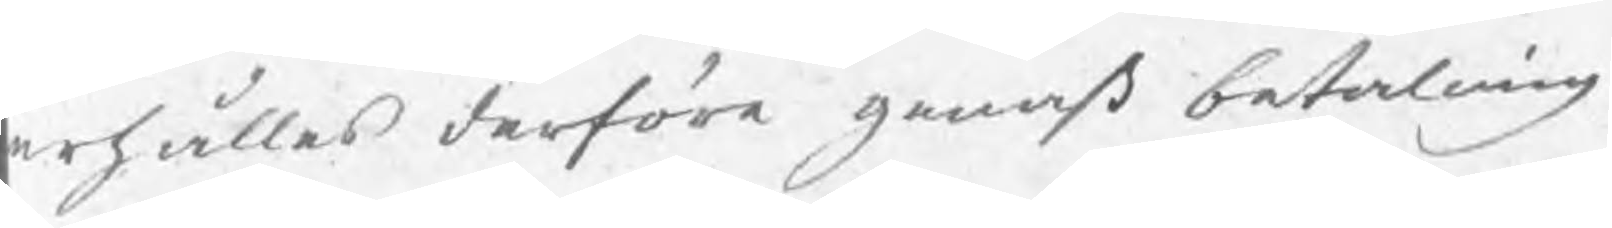erhålles derföre genast betalning
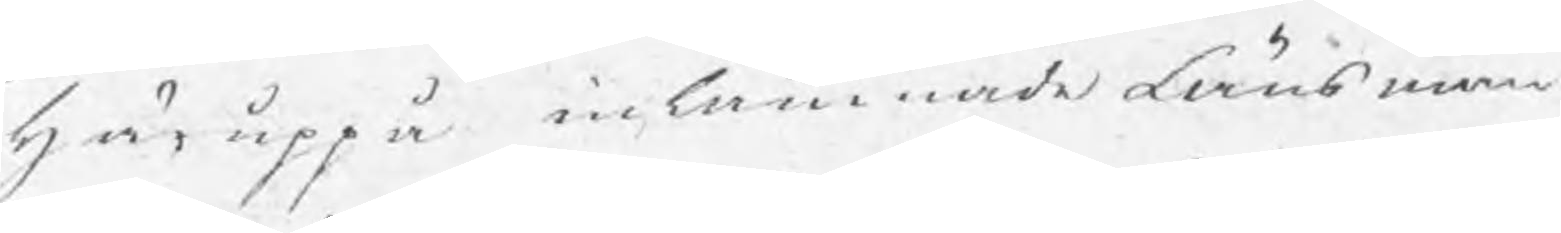här uppå inlämnade Länsman
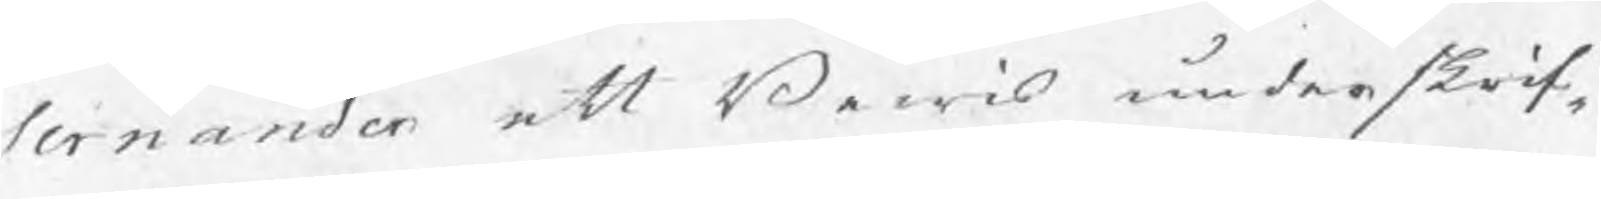Sernander att Bewis underskrif¬
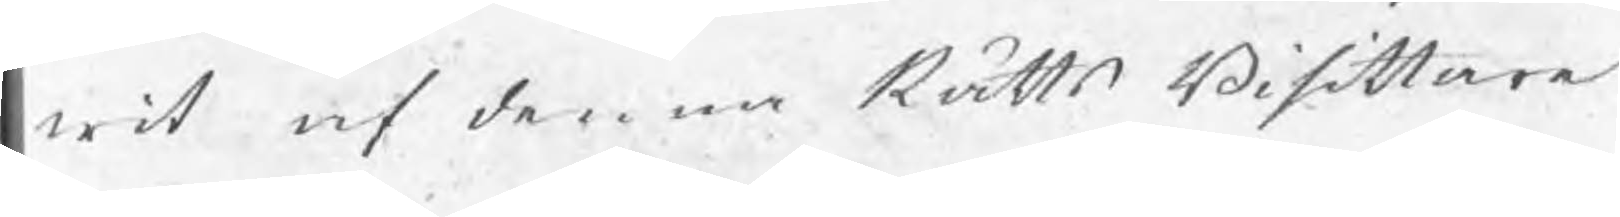wit af denna Rätts Bisittare
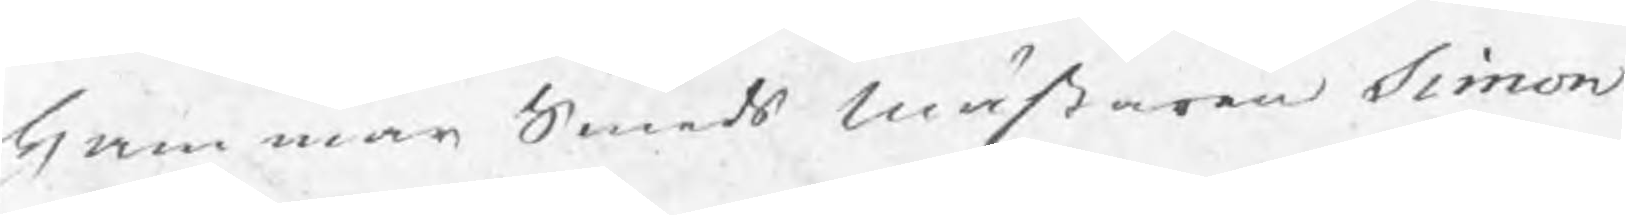Hammar Smeds Mästaren Simon
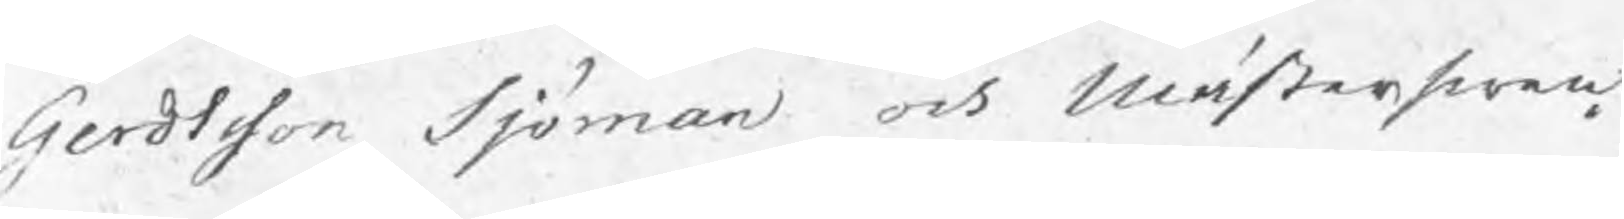Gerdtsson Sjöman och Mästerswen¬
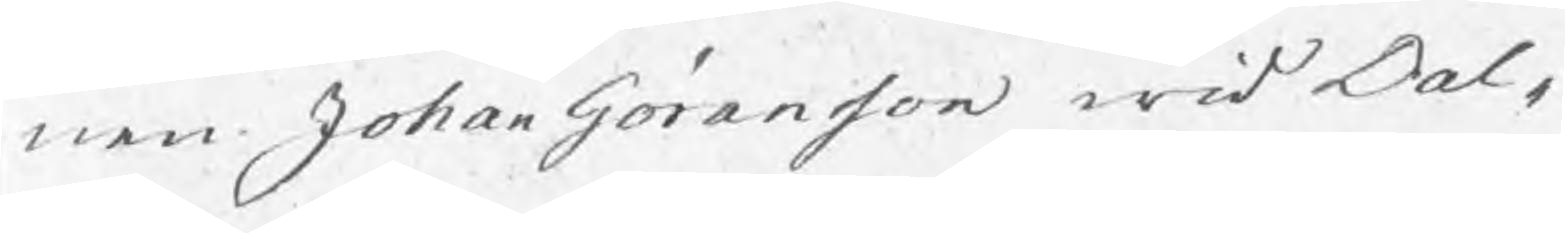nen Johan Göransson wid Dal¬
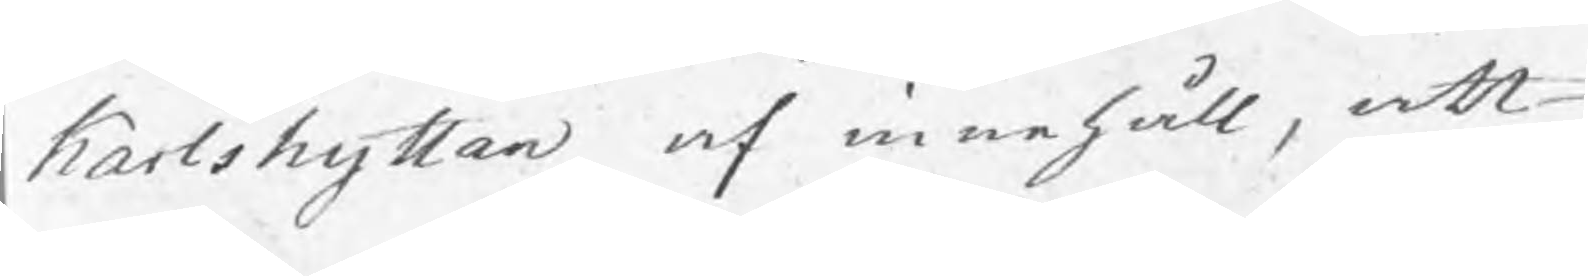Karlshyttan af innehåll, att
